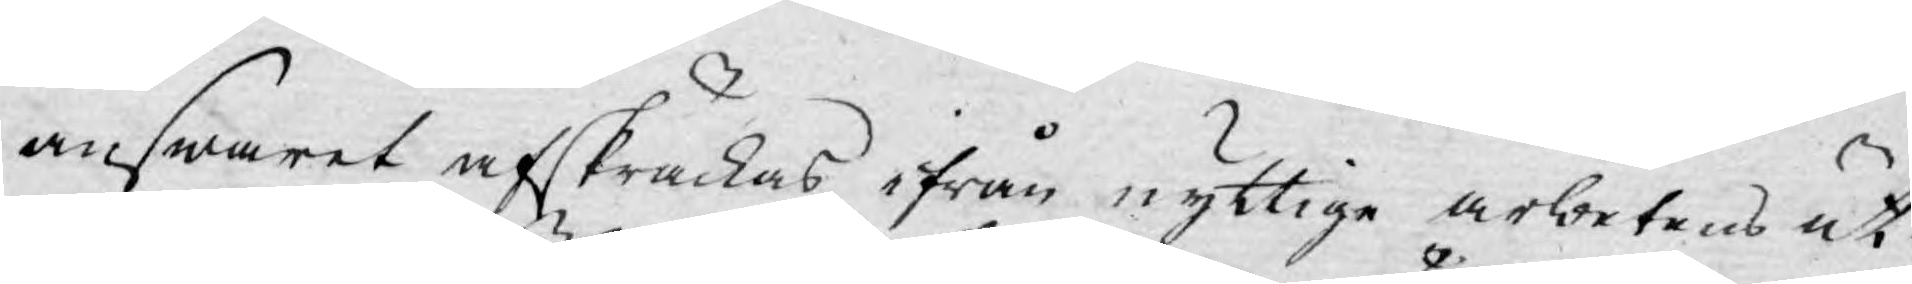answaret afskräckas ifrån nyttige arbetens ut¬
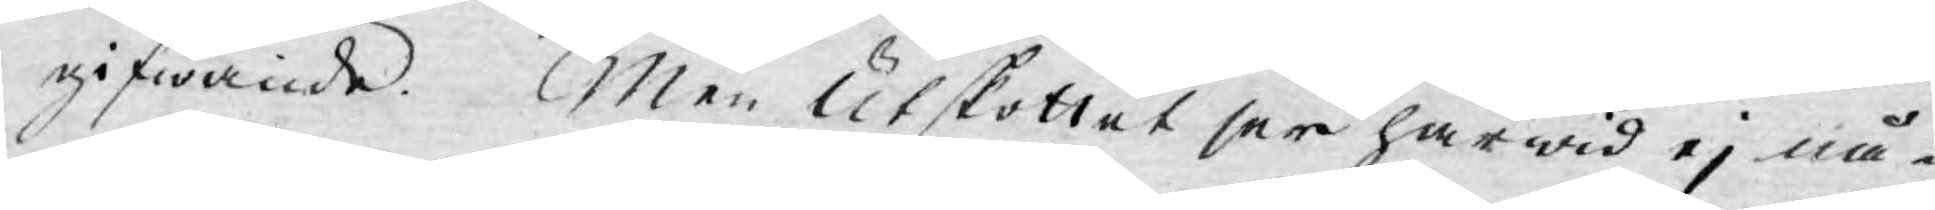gifwande. Men Utskottet ser härwid ej nå¬
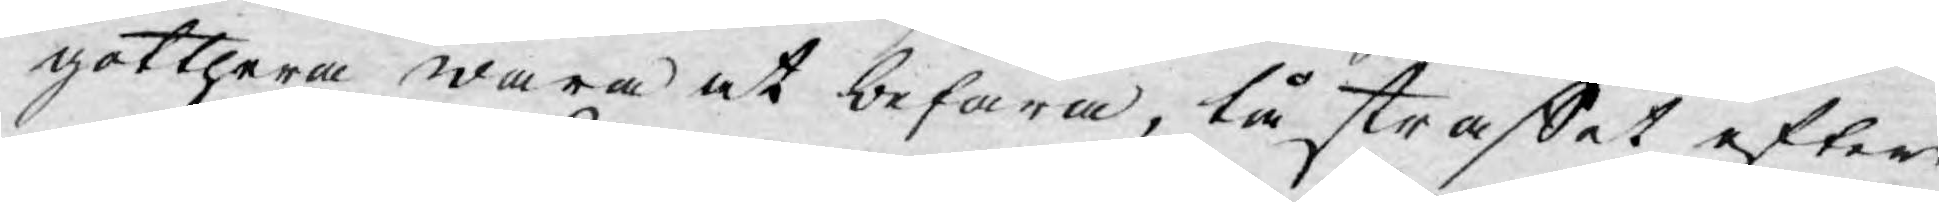gotthera wara at befara, tå straffet efter
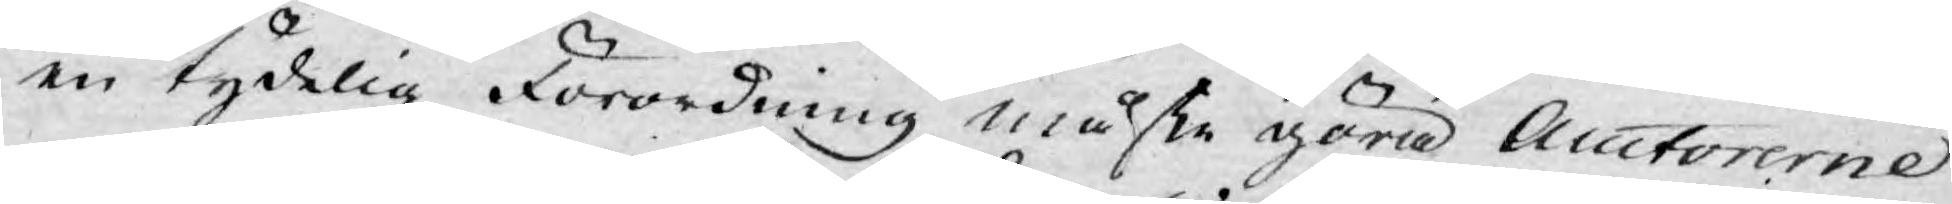en tydelig Förordning måste göra Auctorerne
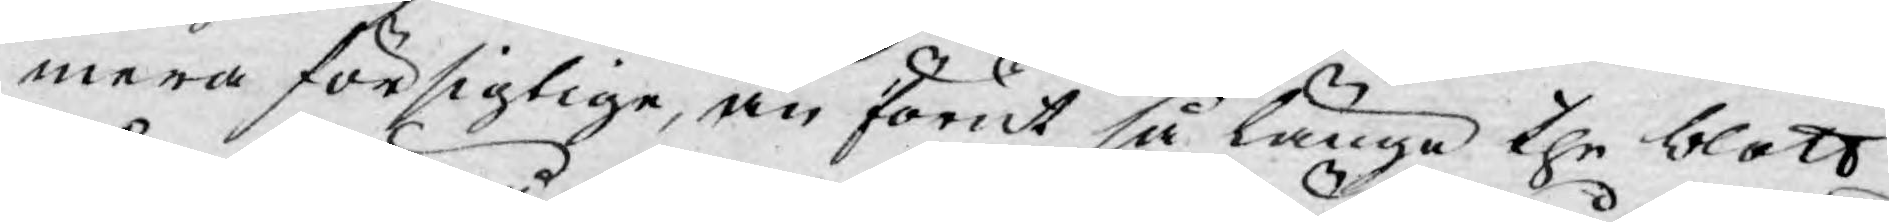mera försigtige, än förut så länga the blott
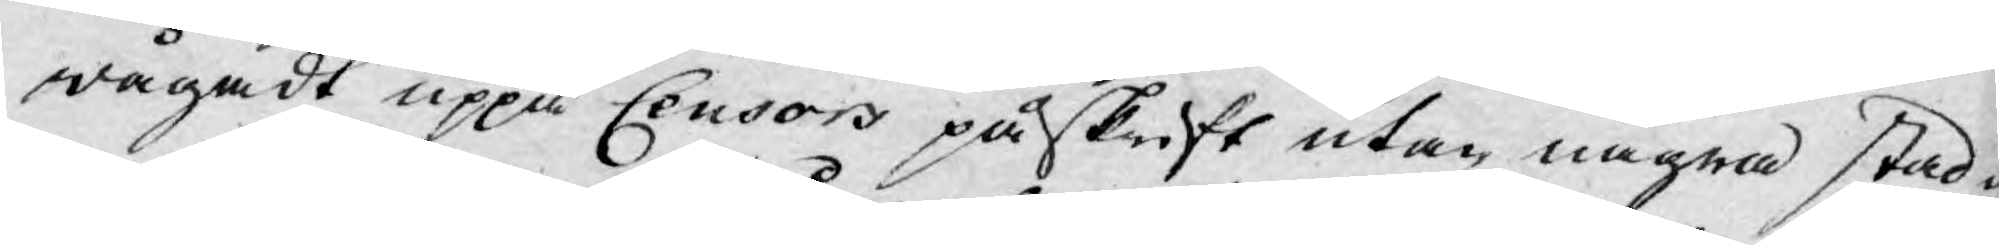wågadt uppå Censors påskrift utan några stad¬
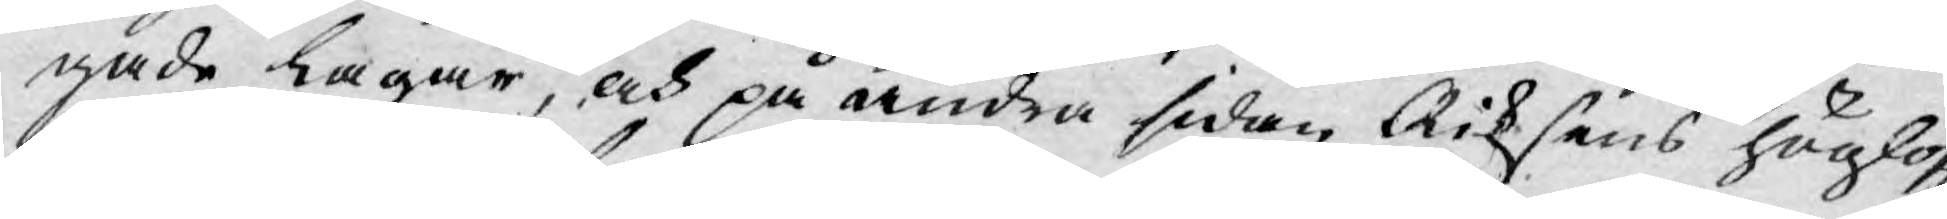gade lagar, och på andra sidan Riksens höglofl.
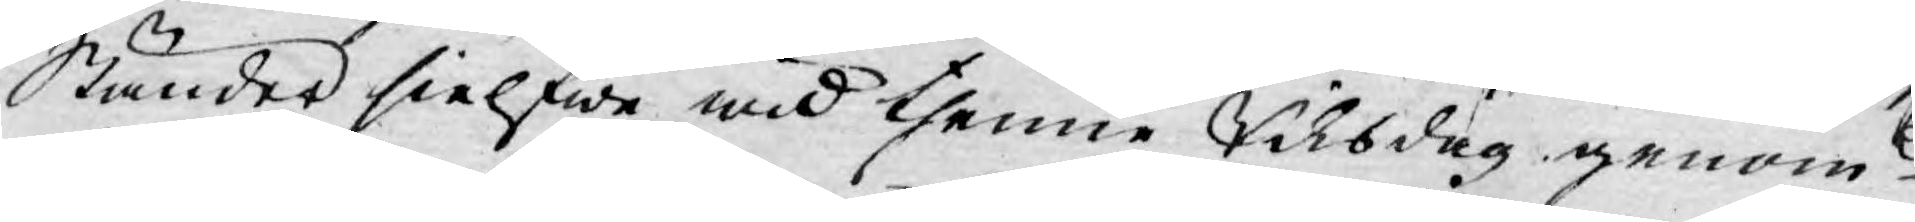Ständer sielfwe wid thenne Riksdag genom
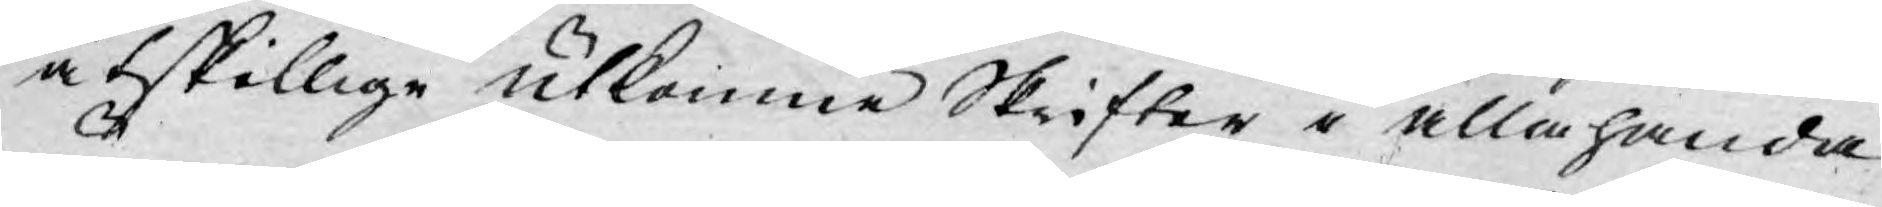åtskillige utkomne Skrifter i allahanda
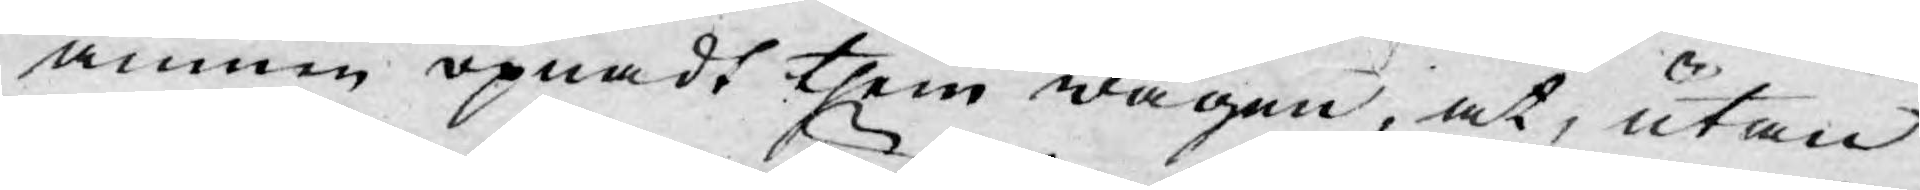ämnen öpnadt them wägen, at, utan
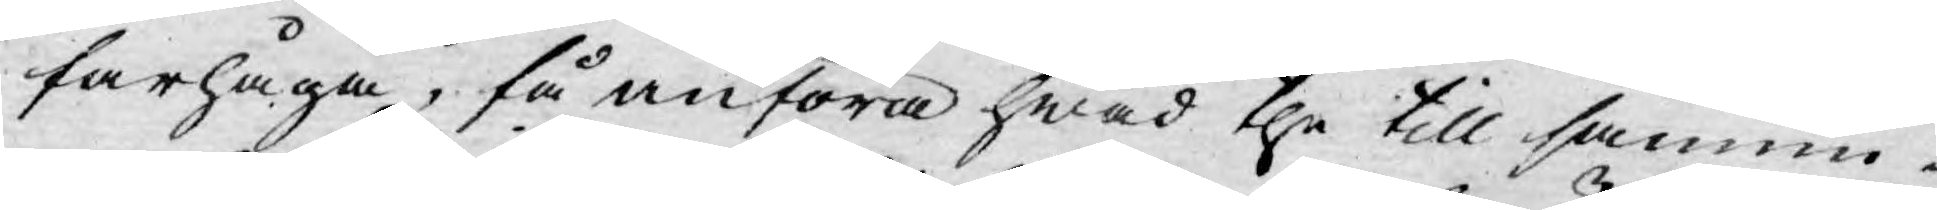farhåga, få anföra hwad the till sannin¬
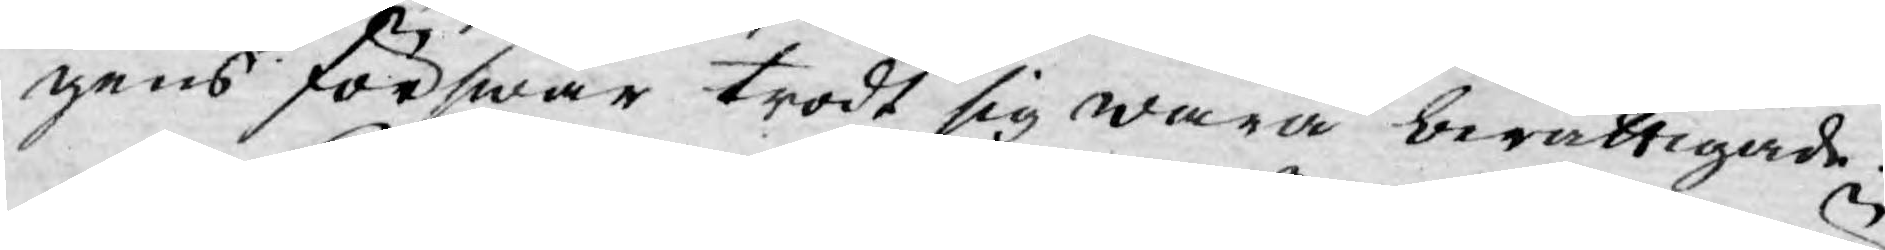gens förswar trodt sig wara berättigade.
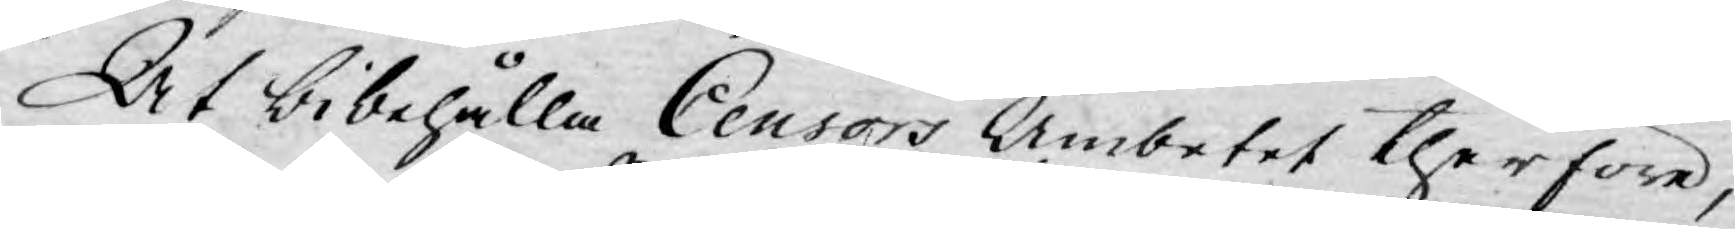At bibehålla Censors Ämbetet therföre,
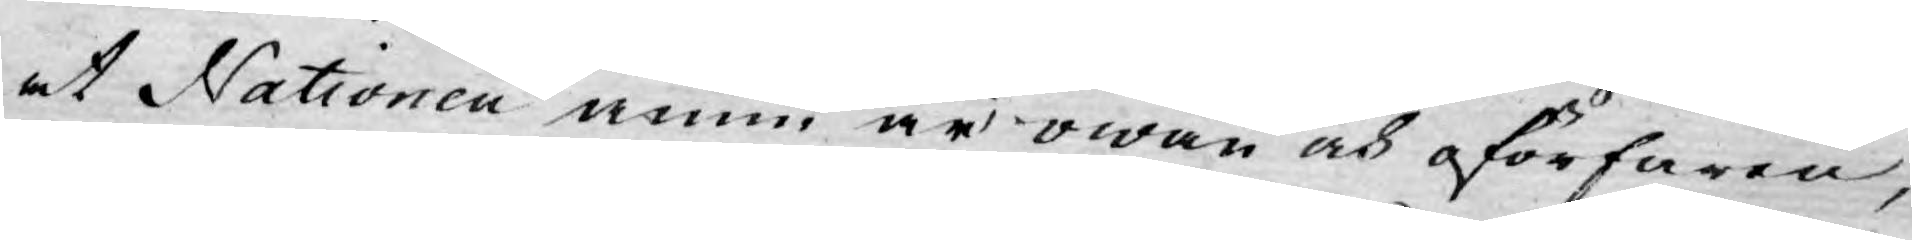at Nationen ännu är owan och oförfaren,
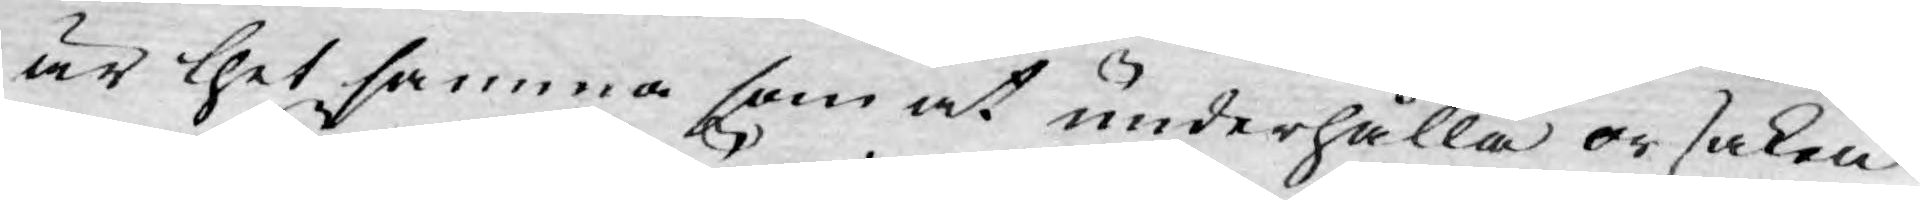är thet samma som at underhålla orsaken
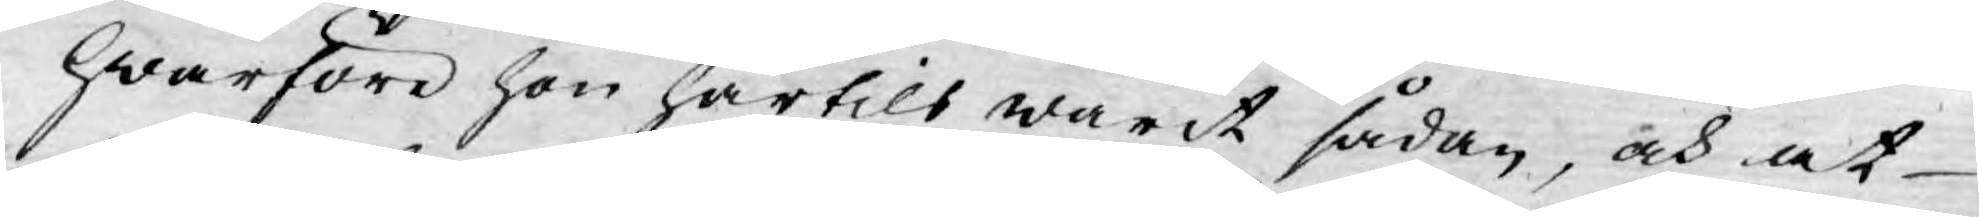hwarföre hon härtils warit sådan, och at
